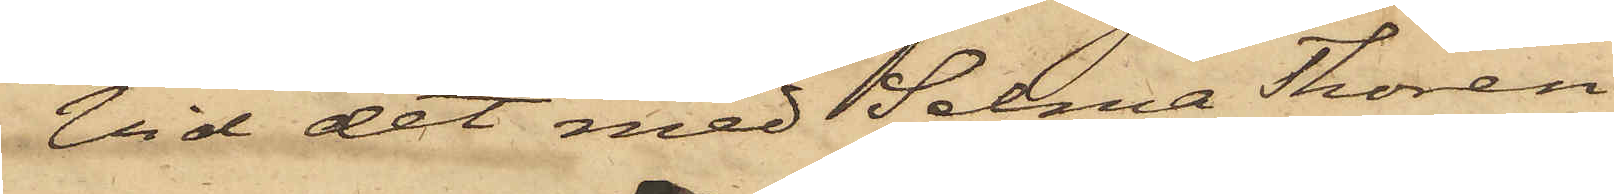Vid det med Selma Thorén
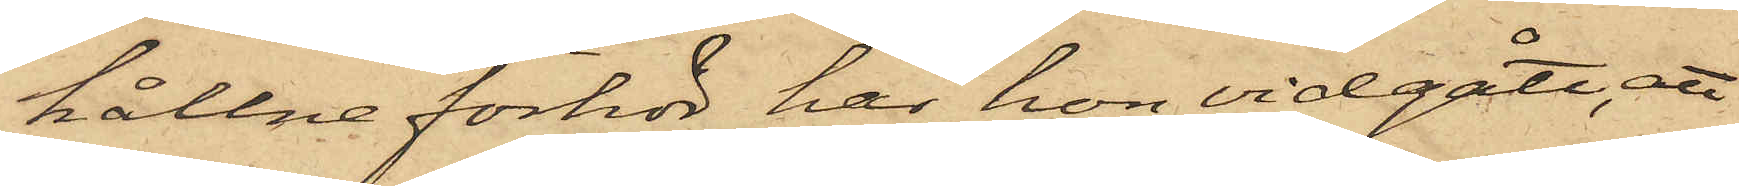hållne förhör har hon vidgått, att
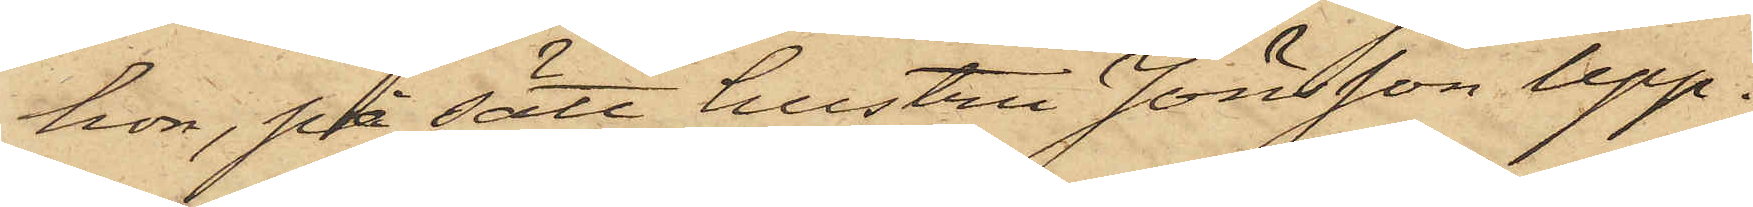hon, på sätt hustru Jönsson upp¬
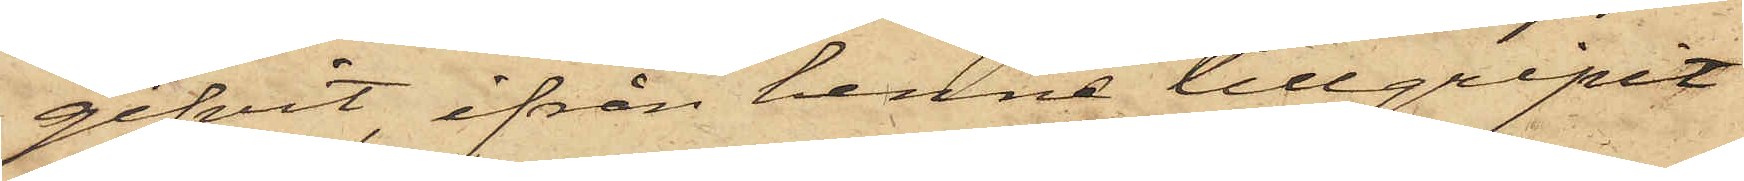gifvit, ifrån henne tillgripit
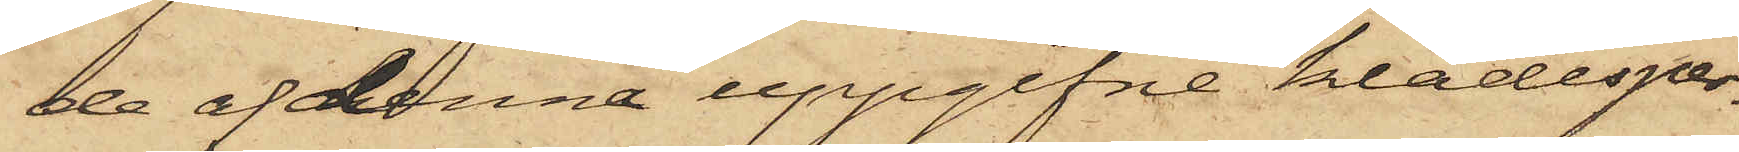de af denna uppgifne klädesper¬
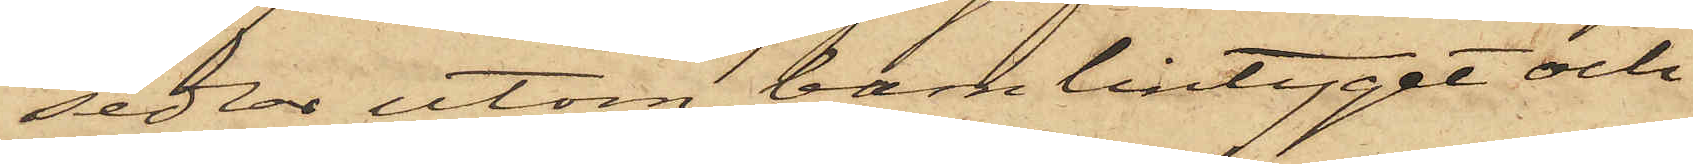sedlar utom barnlintyget och
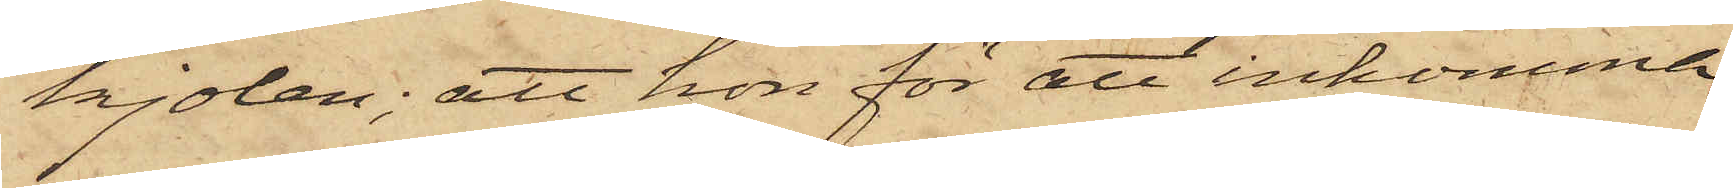kjolen; att hon för att inkomma
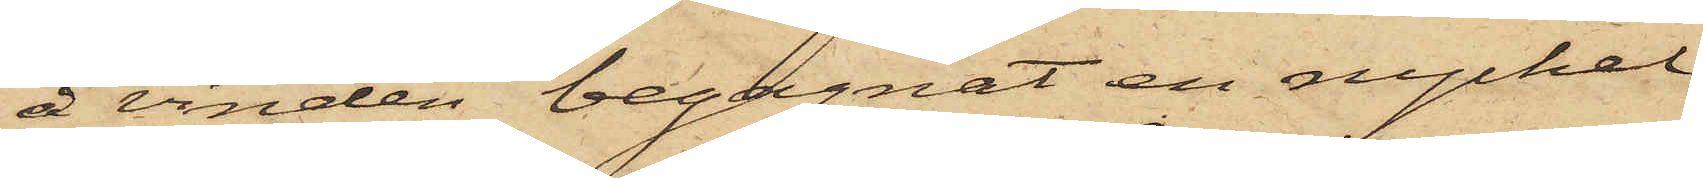å vinden begagnat en nyckel,
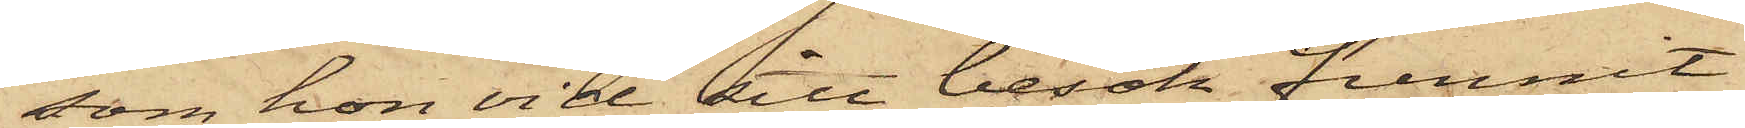som hon vid sitt besök funnit
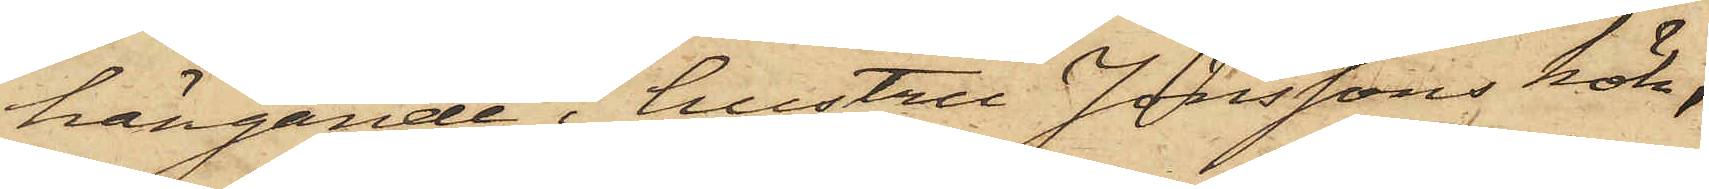hängande i hustru Jönssons kök,
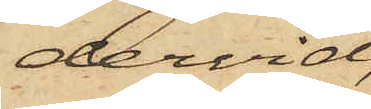dervid,
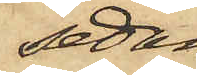sedan
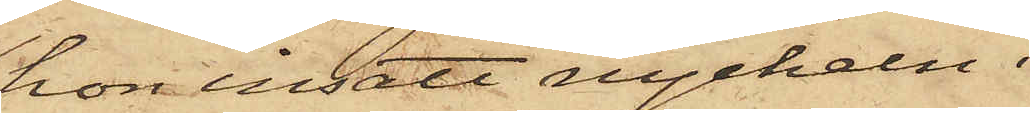hon insatt nyckeln i
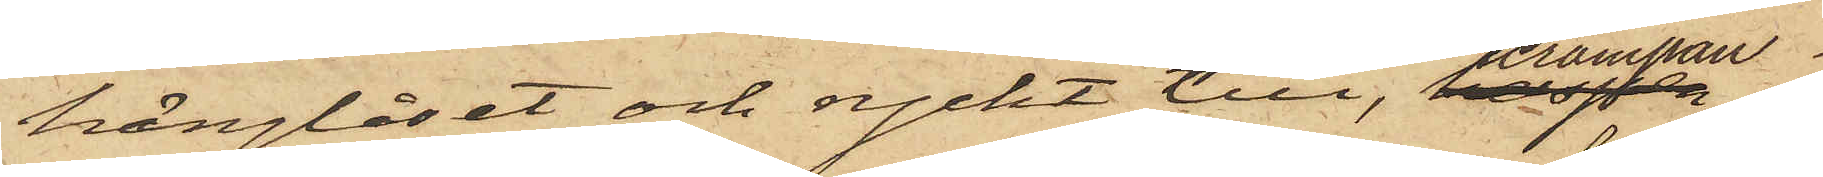hänglåset och ryckt till, krampan
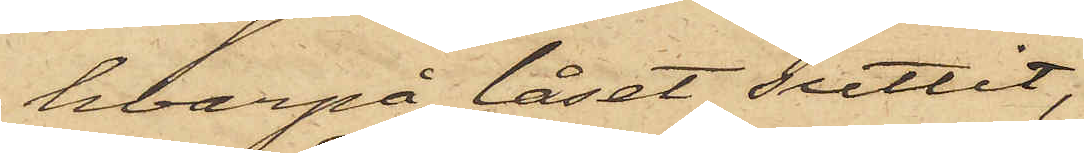hvarpå låset suttit,
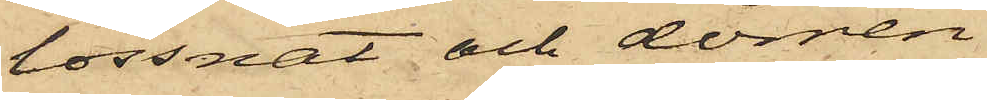lossnat och dörren
